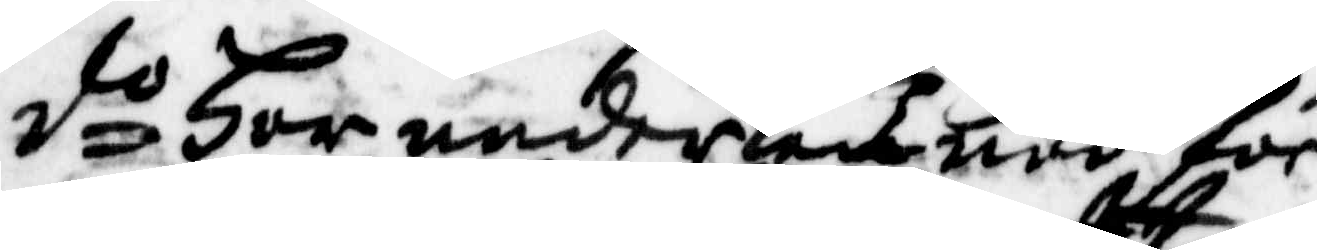do Har undertecknad för
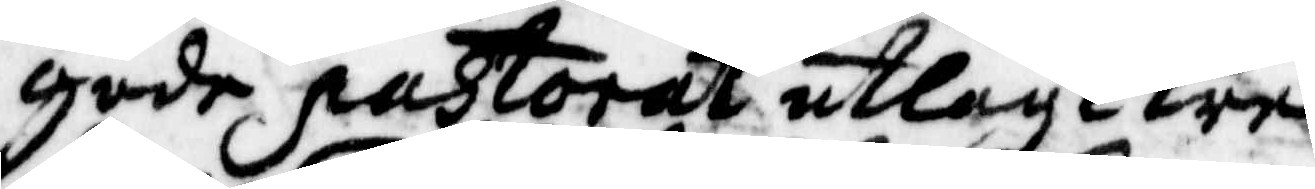gode pastorat utlagt tre
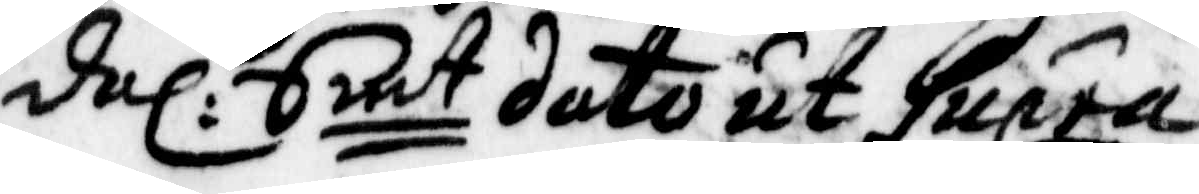dal: Smt dato ut Supra
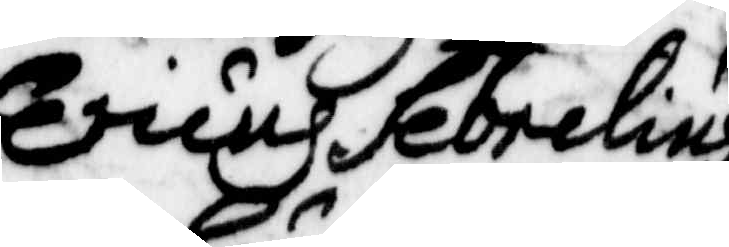Ericus Sebrelius
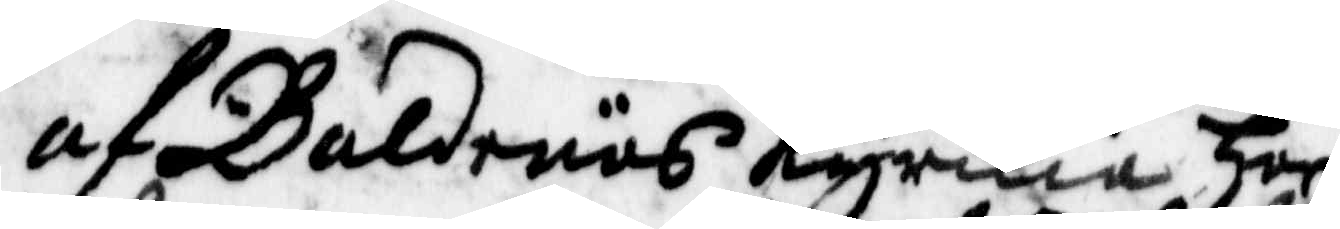af Baldenäs Kyrkia har
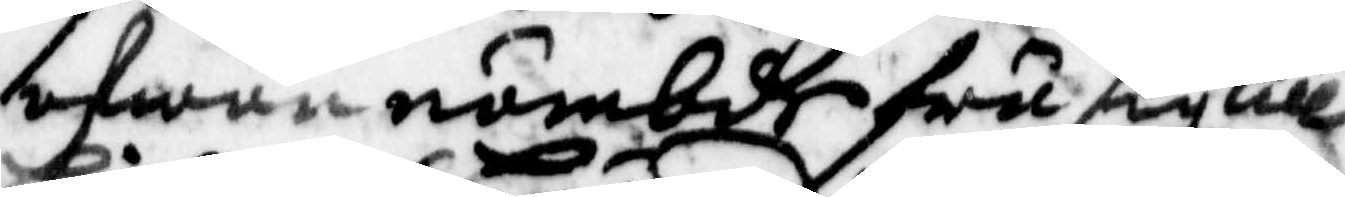ofvannämbde fru sig till
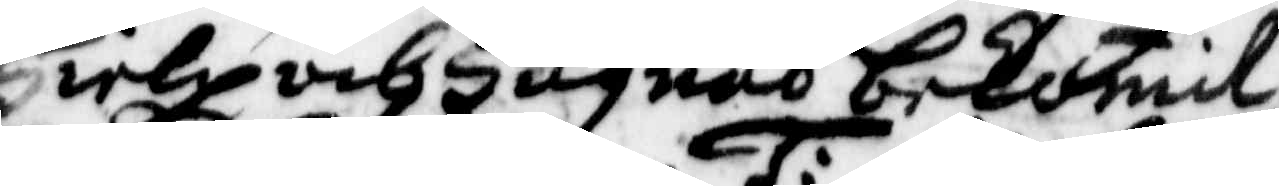Hielp och Hugnad bekommit
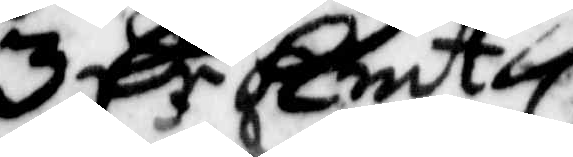3 Cr Kmt
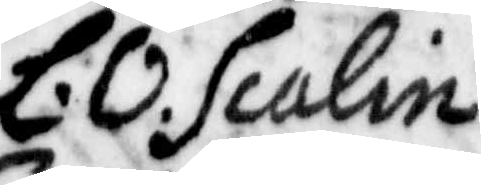L. O. Scalin
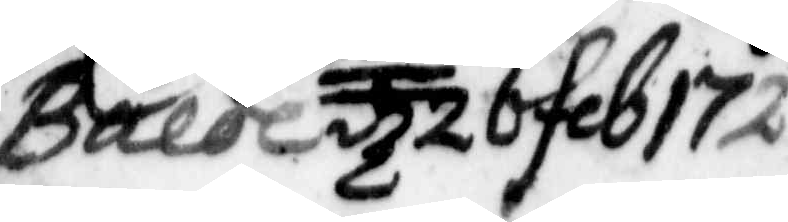Balde d 26 feb 1720
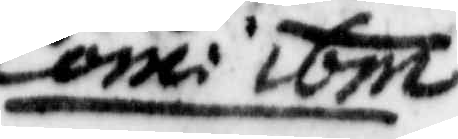Com: ibm
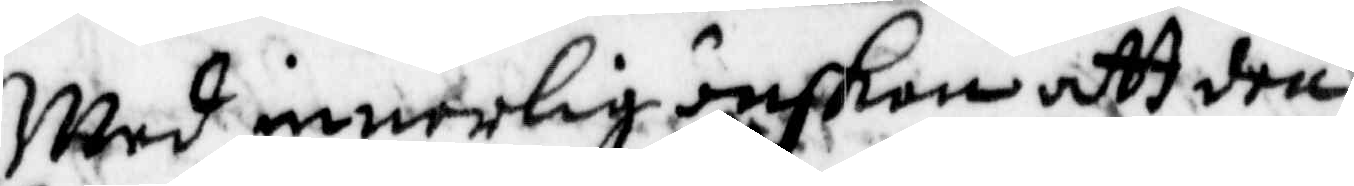Med innerlig önskan att den
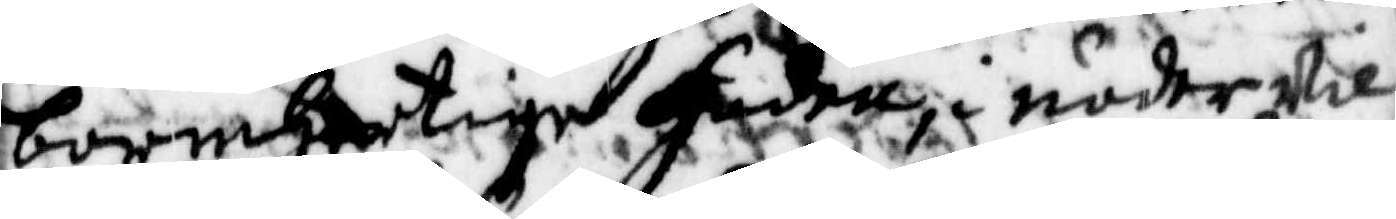¬bermhertige Herre i nåder wi
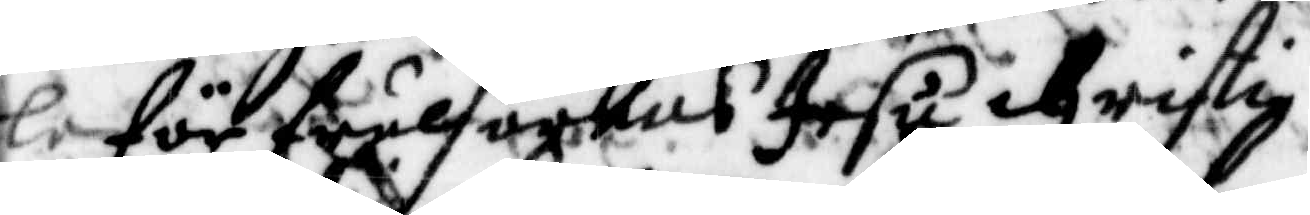le för frälsarends Jesu Cristi
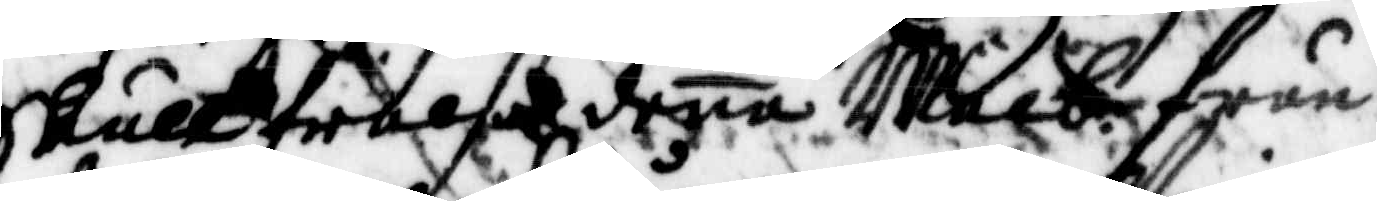Skull frelsa dena Welb. frun
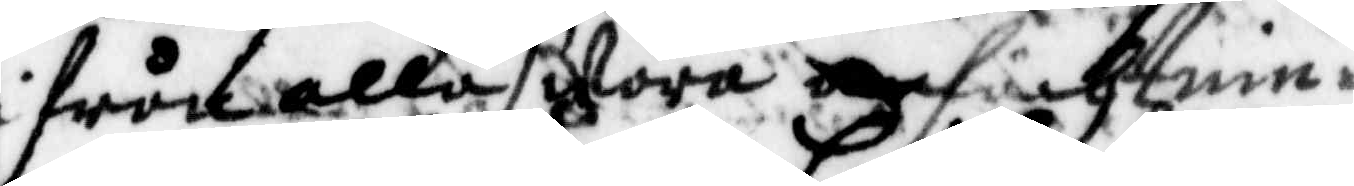i från alla swåra anfächtnin¬
